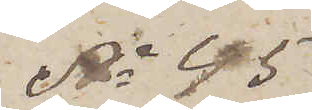No 45
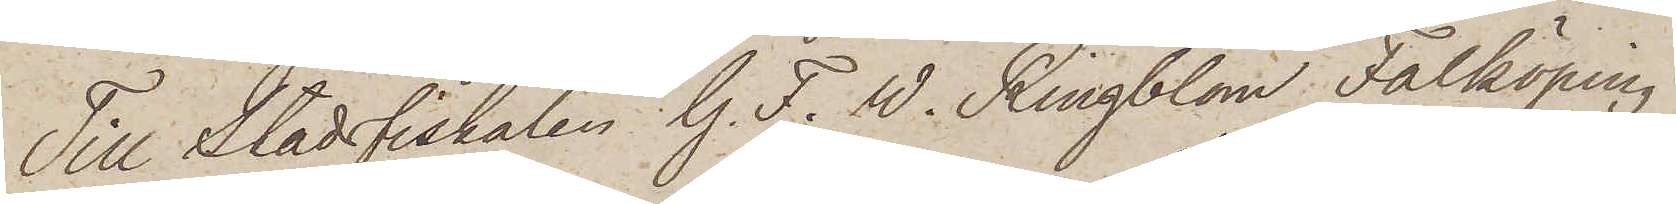Till Stadsfiskalen. G. F. W. Ringblom Falköping.
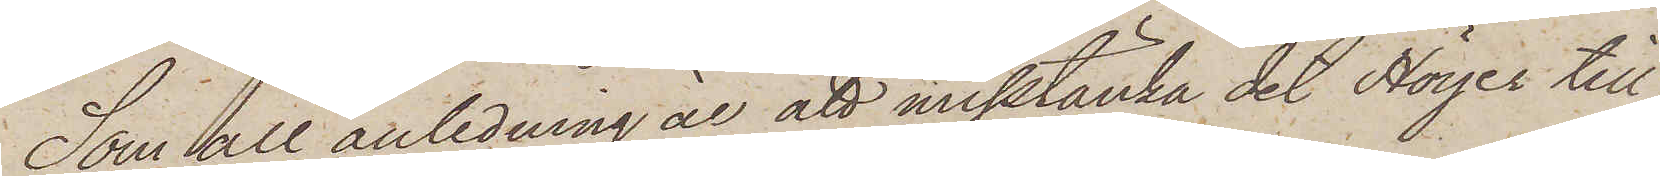Som all anledning är att misstänka det Höyer till¬
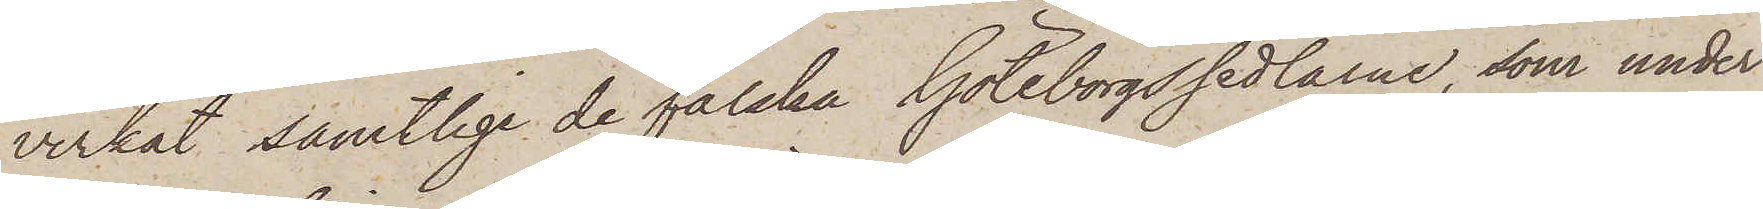verkat samtlige de falska Göteborgssedlarne, som under
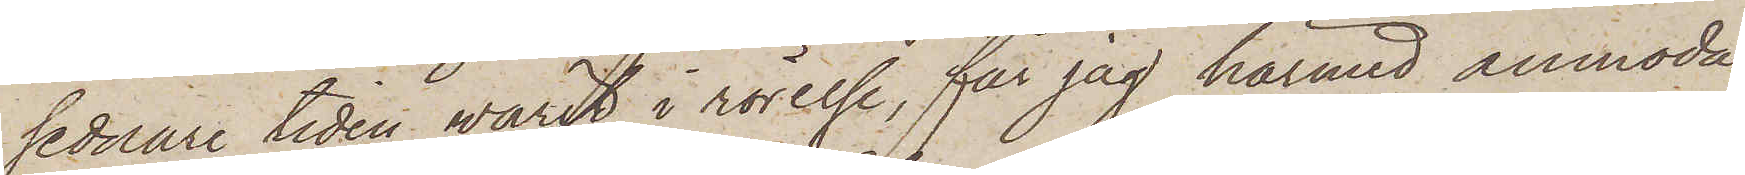sednare tiden warit i rörelse, får jag härmed anmoda
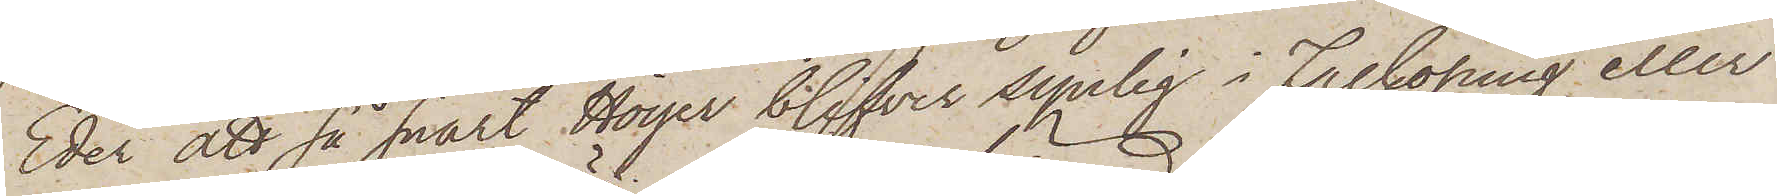Eder att så snart Höyer blifvit synlig i Falköping eller
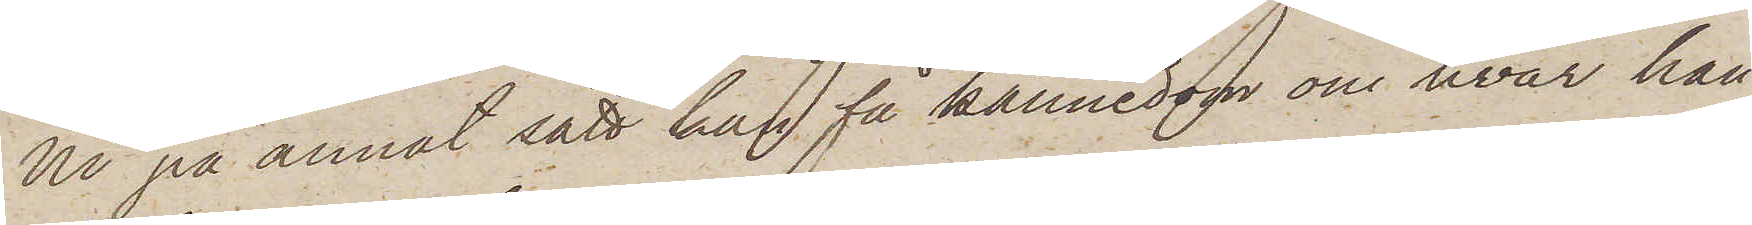Ni på annat sätt kan få kännedom om hvar han
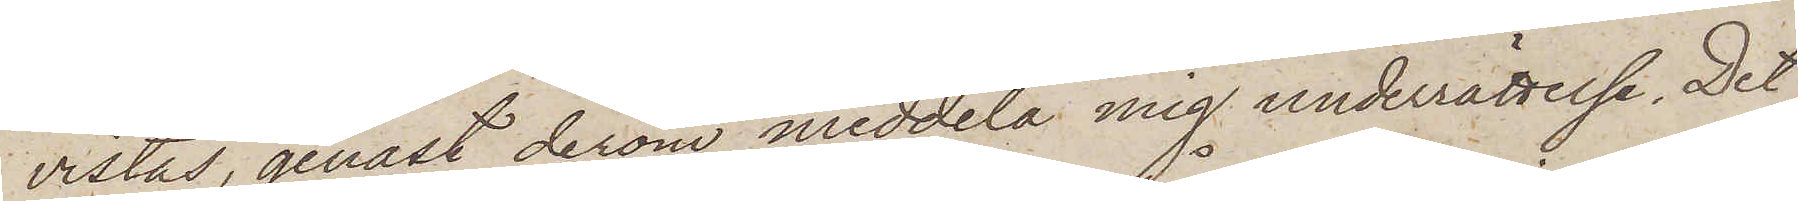vistas, genast derom meddela mig underrättelse. Det
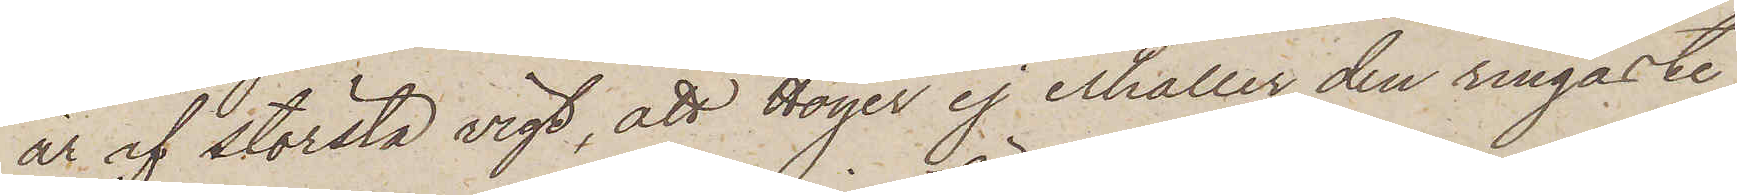är af största vigt, att Höyer ej erhåller den ringaste
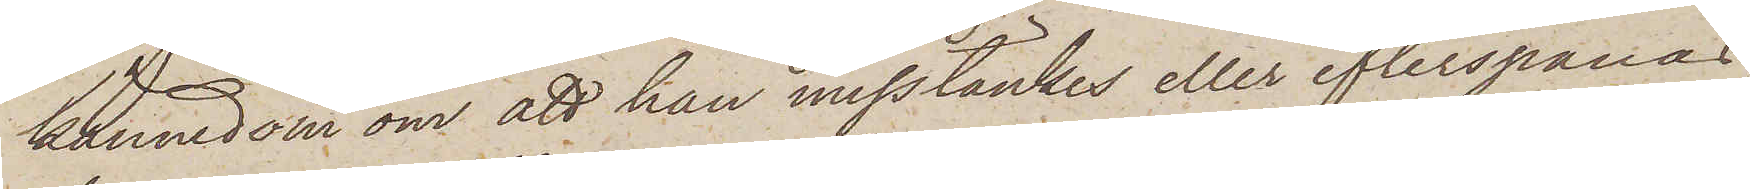kännedom om att han misstänkes eller efterspanas,
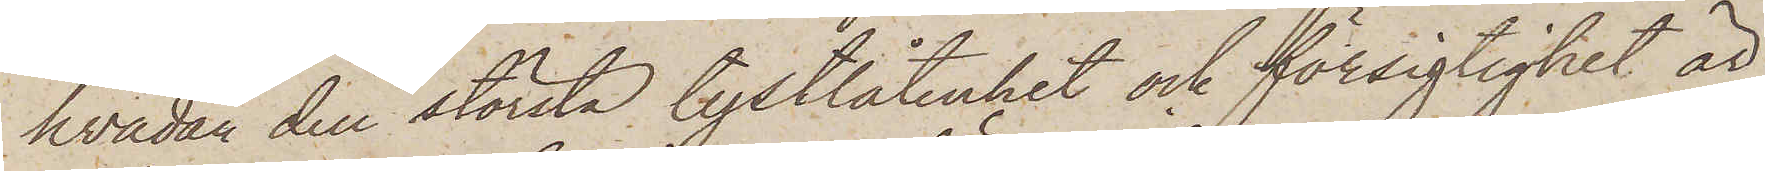hvadan den största tystlåtenhet och försigtighet är
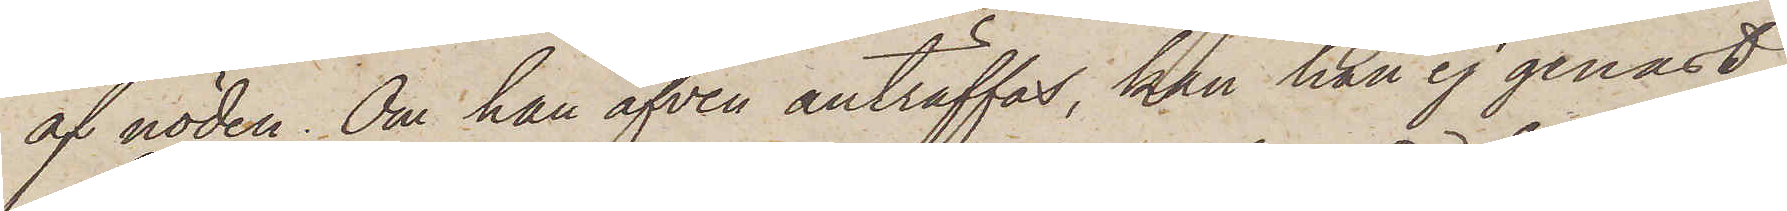af nöden. Om han äfven anträffas, kan han ej genast
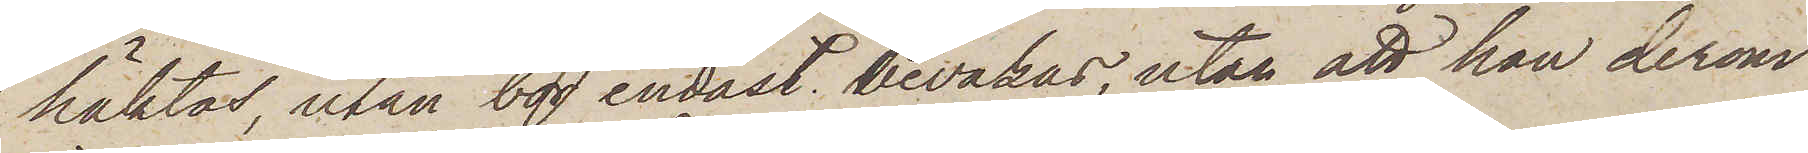häktas, utan bör endast bevakas, utan att han derom
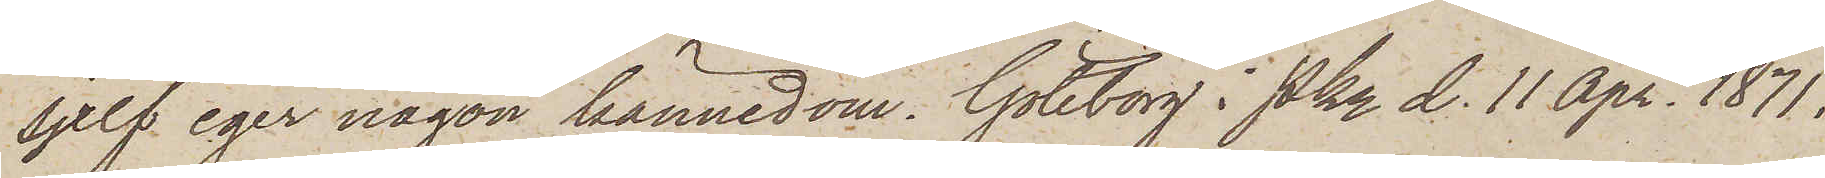sjelf eger någon kännedom. Göteborg i Pkn d. 11 Apr. 1871.
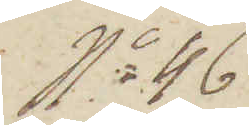No 46
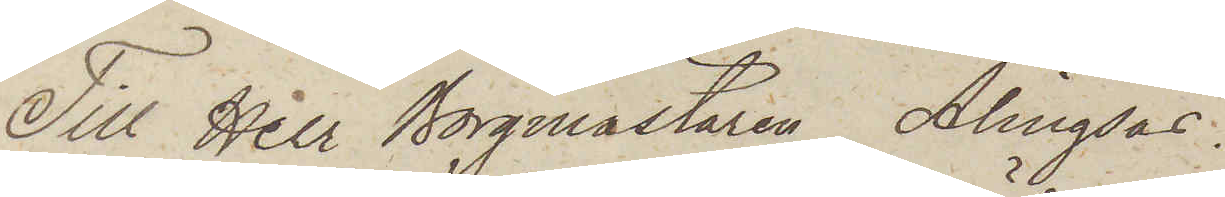Till Herr Borgmästaren Alingsås.
